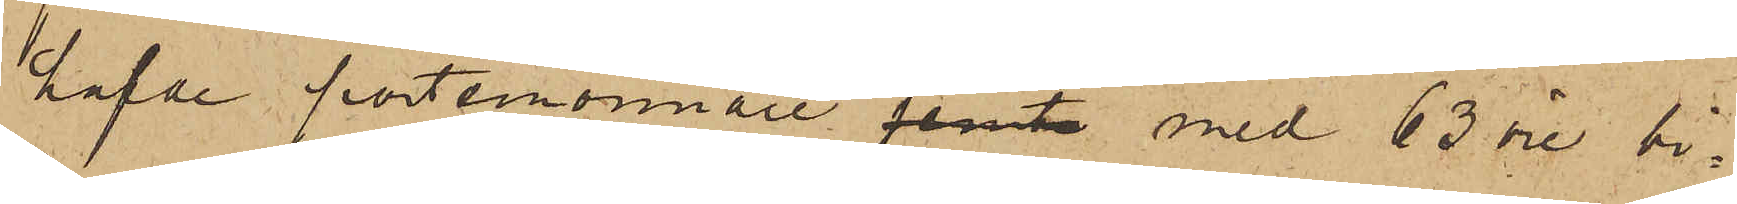hafde portemonnaie jemte med 63 öre bi¬
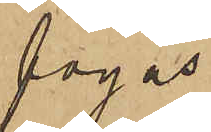fogas.
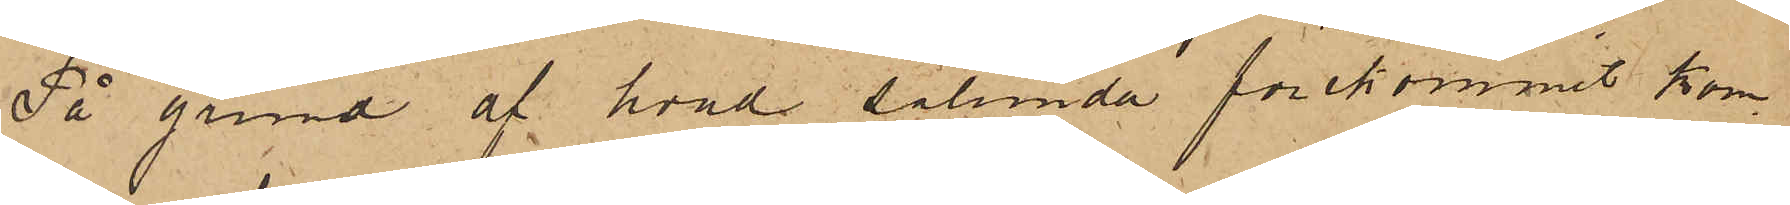På grund af hvad sålunda förekommit kom¬
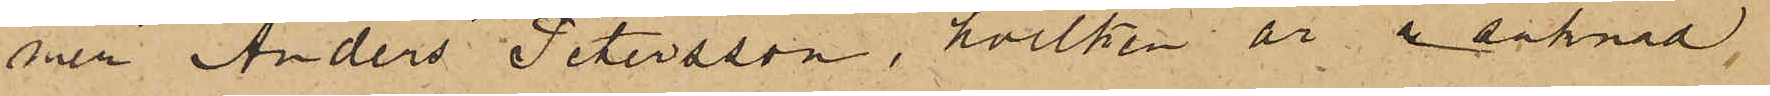mer Anders Petersson, hvilken är i saknad
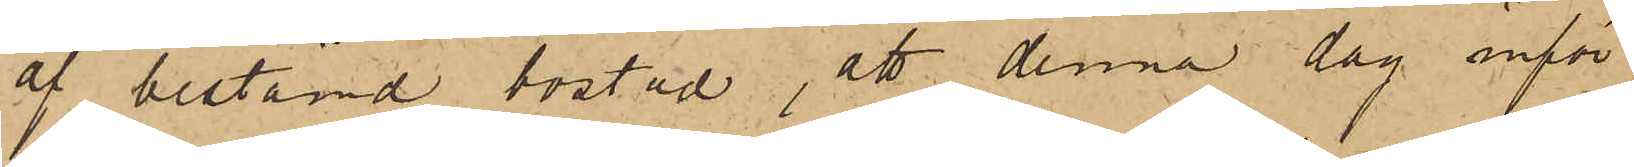af bestämd bostad, att denna dag inför
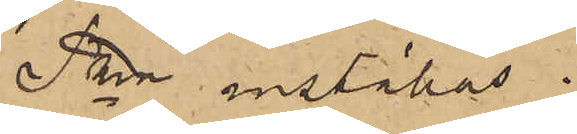Pkn inställas.
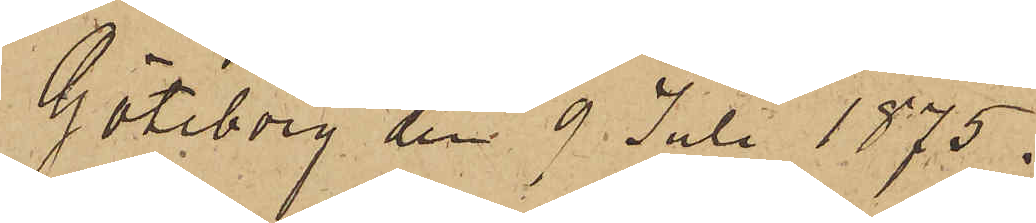Göteborg den 9 Juli 1875.
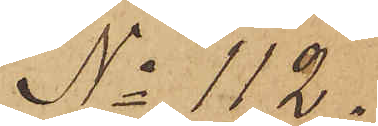No 112.
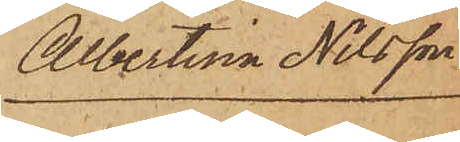Albertina Nilsson
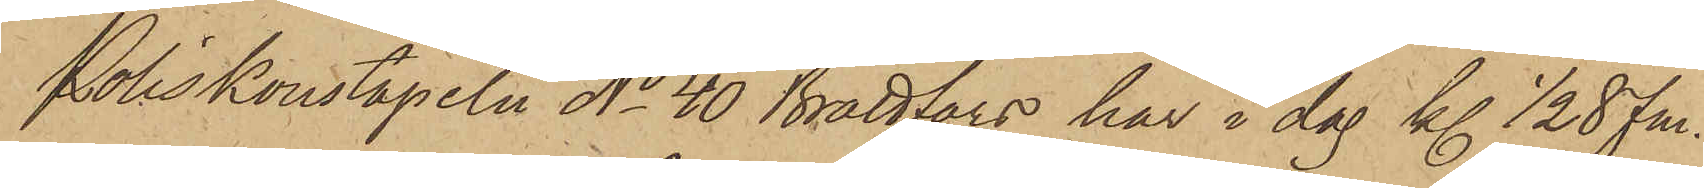Poliskonstapeln No 40 Brattfors har i dag kl 1/2  8 fm.
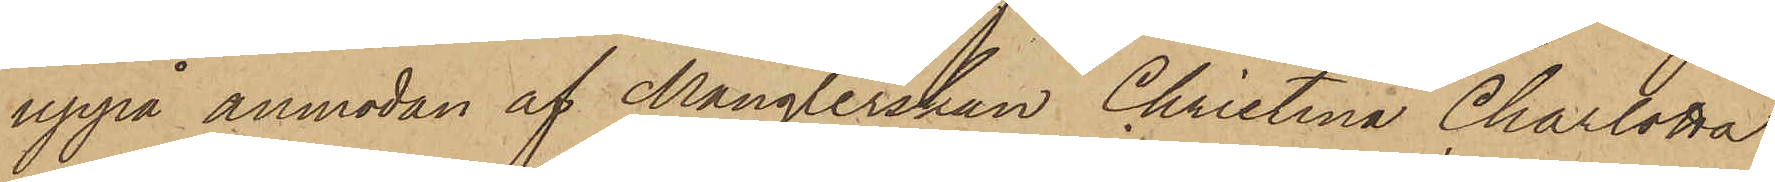uppå anmodan af Månglerskan Christina Charlotta
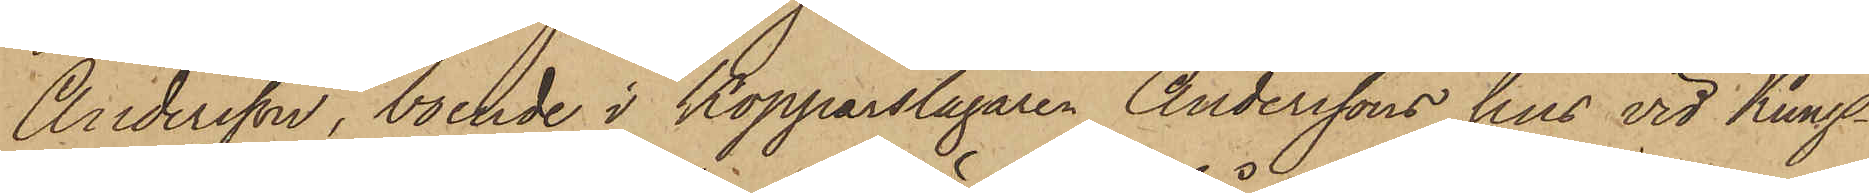Andersson, boende i Kopparslagaren Anderssons hus vid Kungs¬
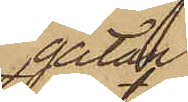gatan
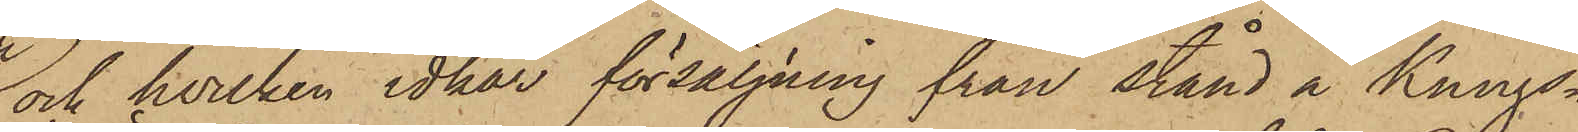och hvilken idkar försäljning från stånd å Kungs¬
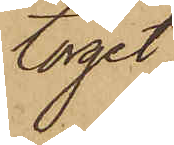torget,
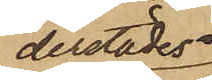derstädes
